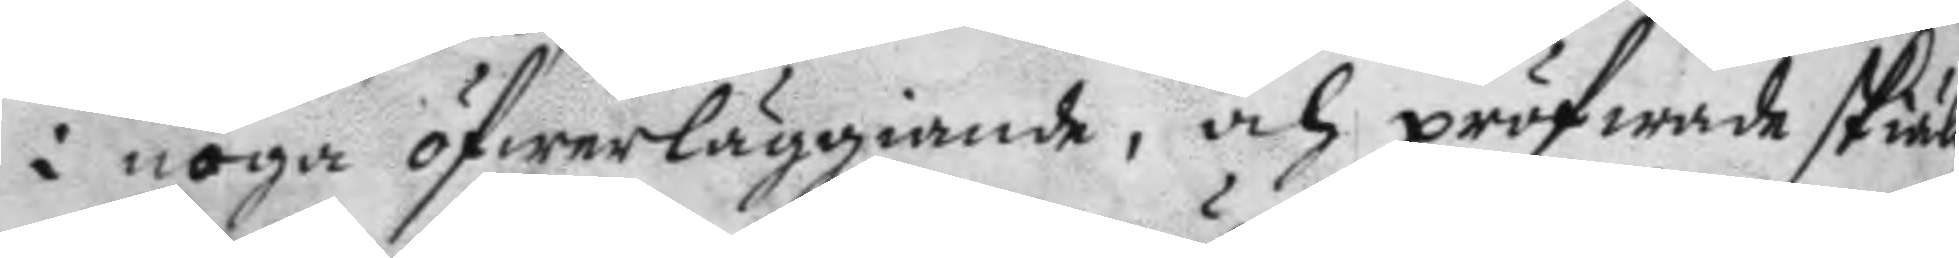i noga öfwerläggiande, och pröfwade skiälig
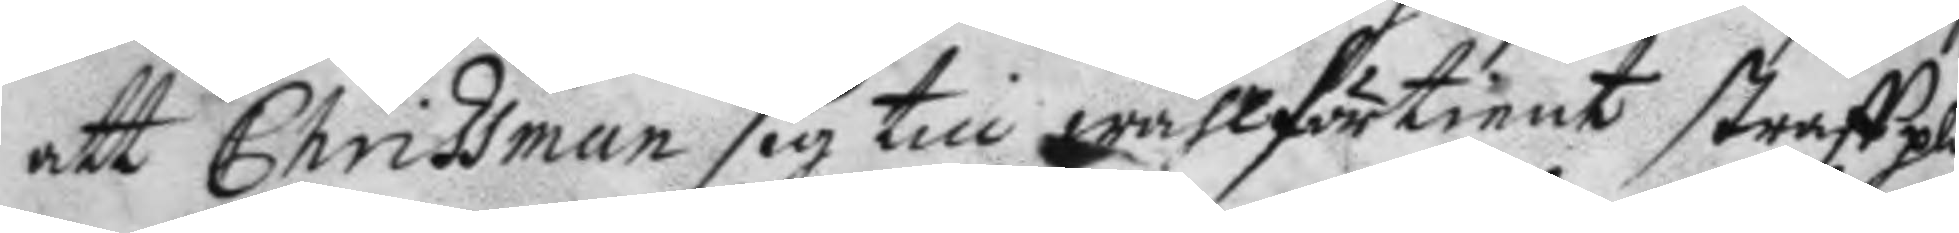att Chrissman sig till wählförtient straff pli¬
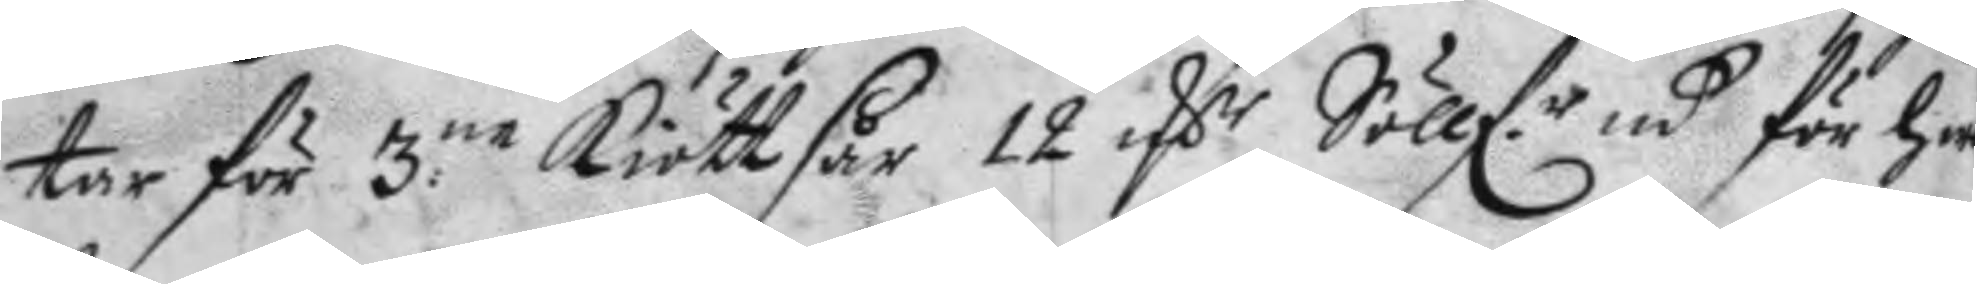tar för 3.ne kiöttsår 12 Mrk.r Söllf.r mt för han
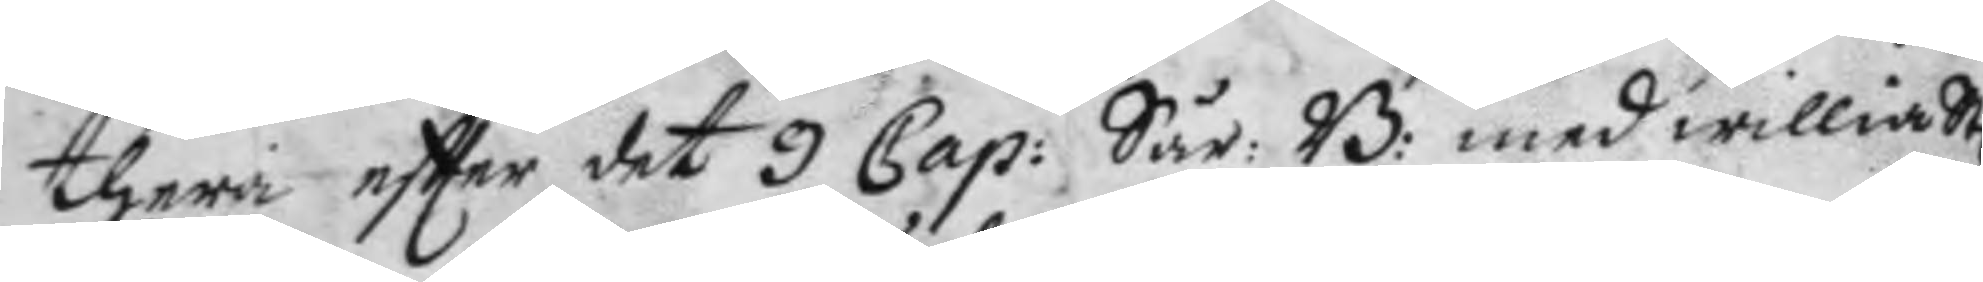therå eftter det 9 Cap: Sår: B: med willia S
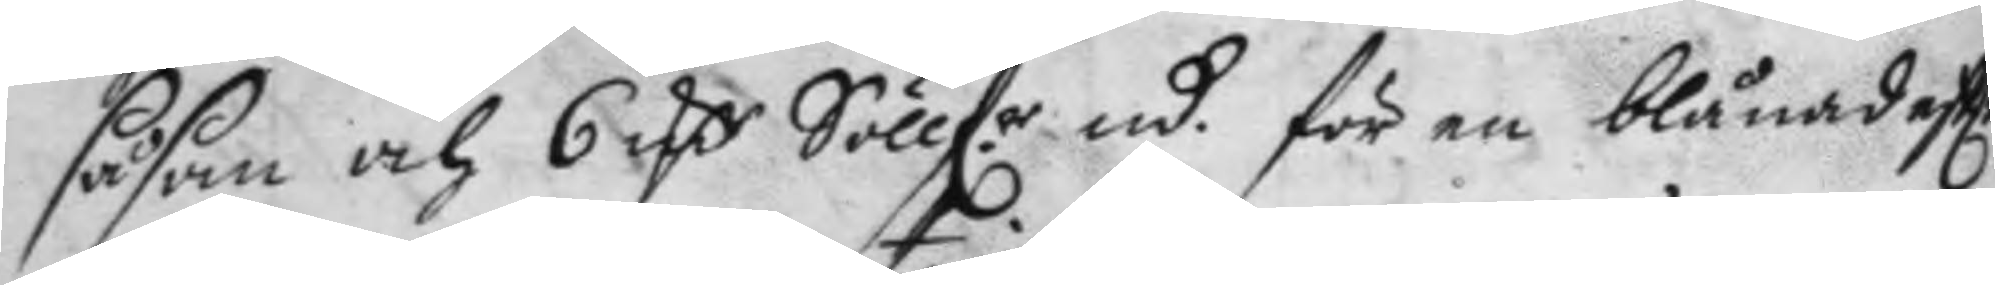såsom och 6 Mrk Söllfr mt för en blånad eftter
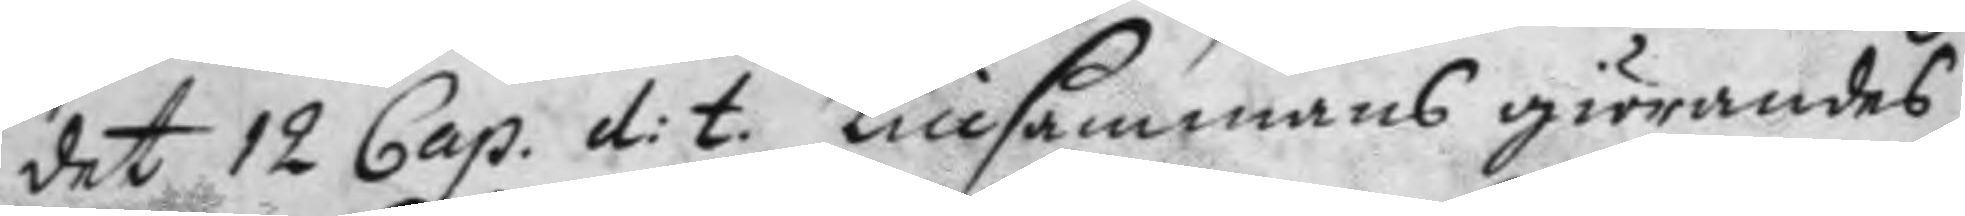det 12 Cap. d: t. tillsammans giörandes
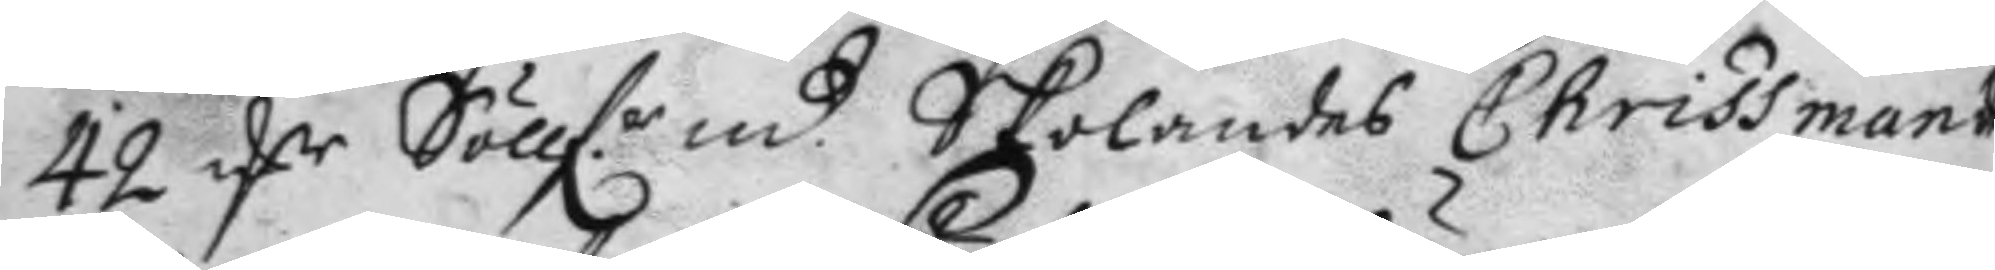42 Mrkr Söllf.r mt. Skolandes Chrissmans
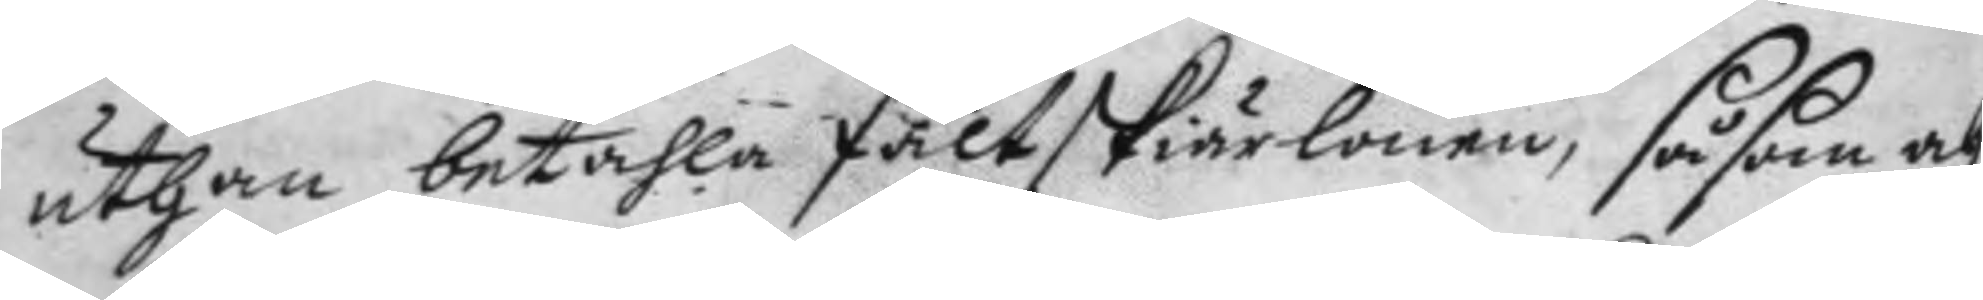uthan bethala Fältskiärlönen, såsom och
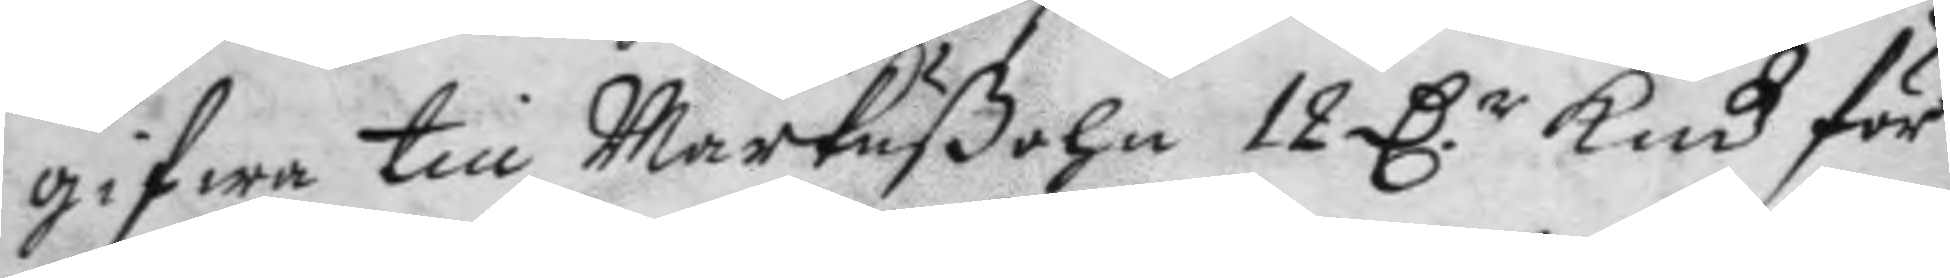gifwa till Markußohn 12 D.r Kmt för
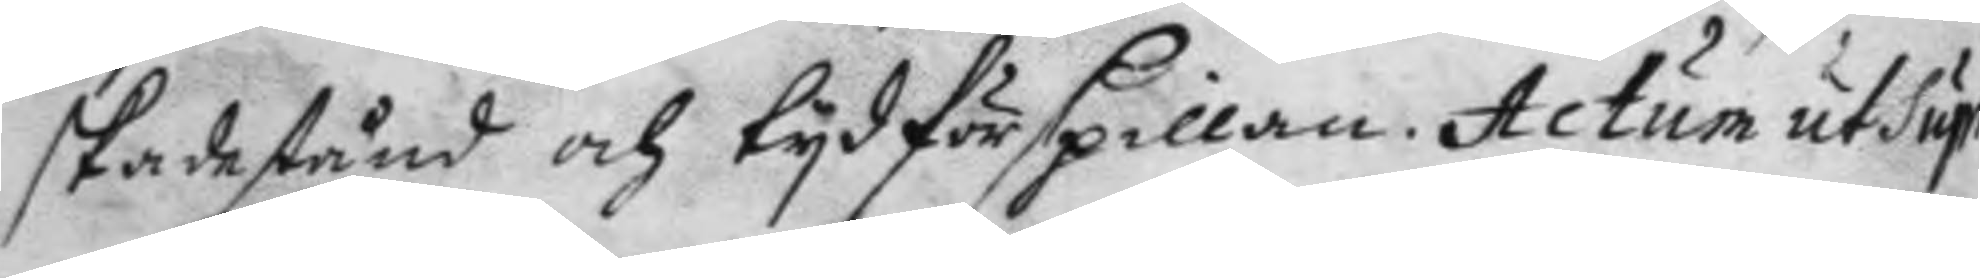skadestånd och tyd förspillan. Actum ut Supra.
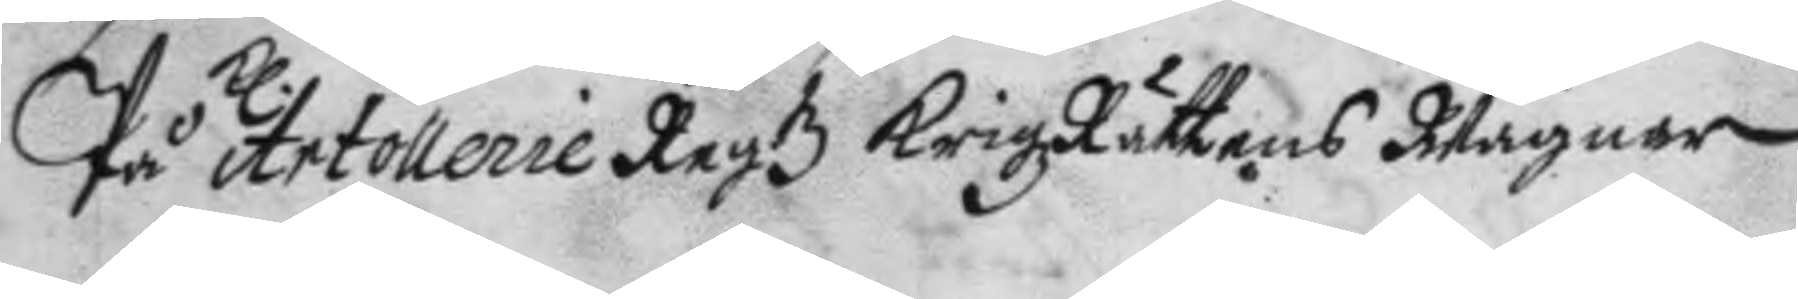på Kl. Artollerie Regtz KrigzRättens Wägnar
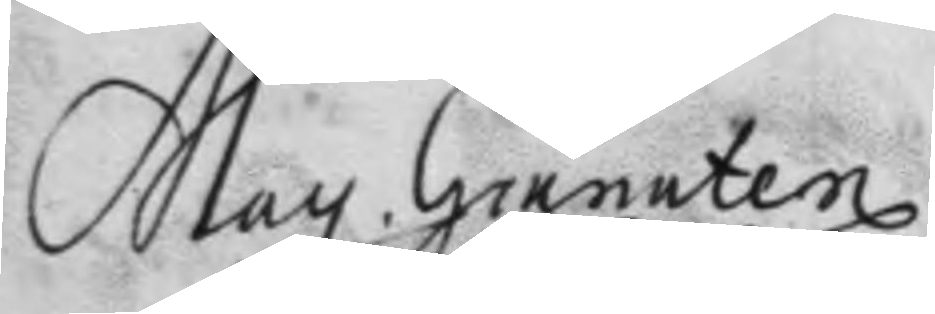May. Granaten¬
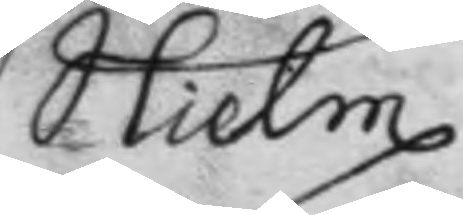Hielm
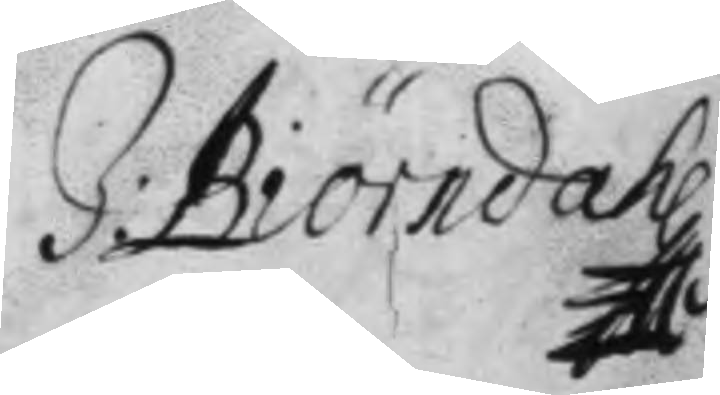J: Biörndahl
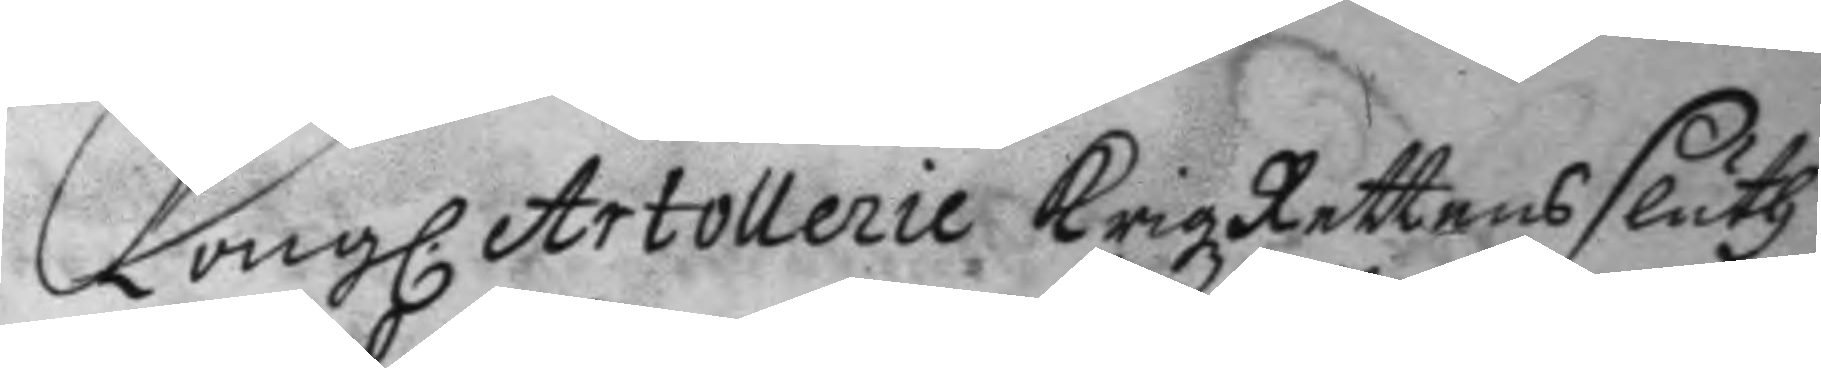Kong. Artollerie Krigz Rettens sluth
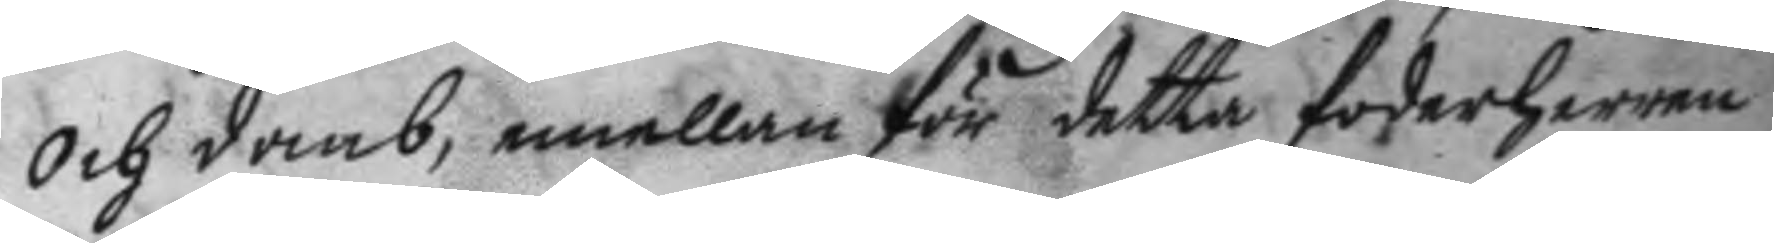och domb, emellan för detta foderherren
